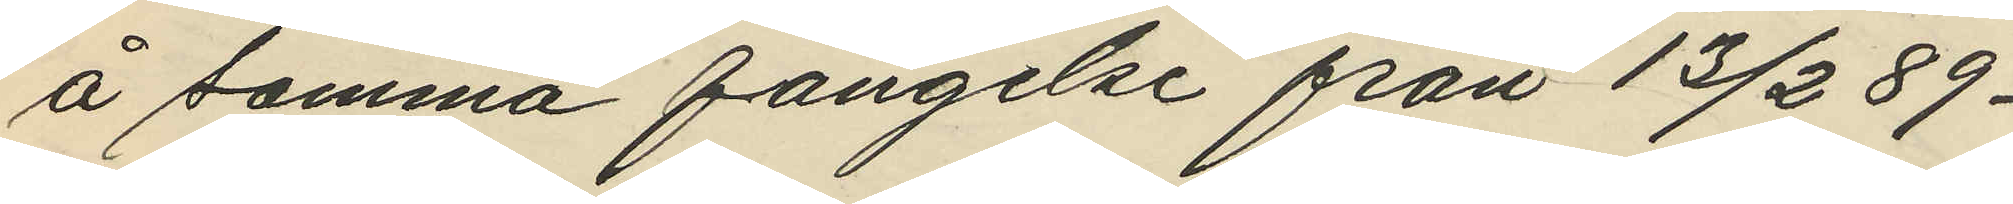å samma fängelse från 13/2 89-
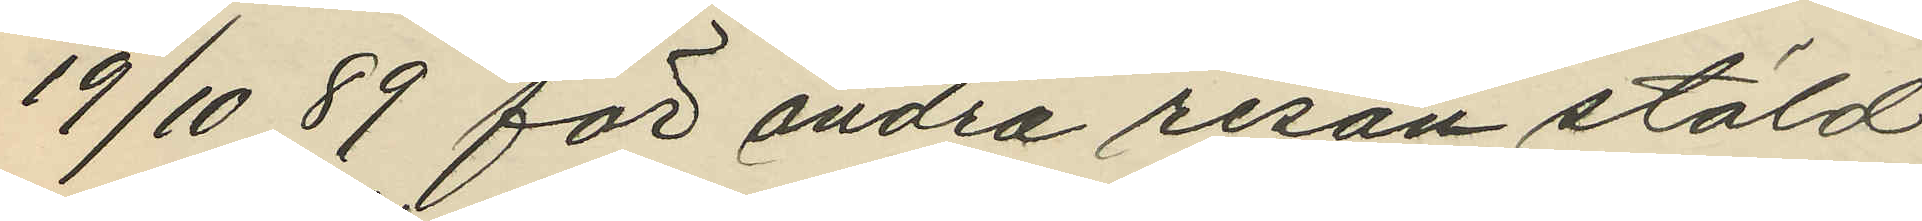19/10 89 för andra resan stöld
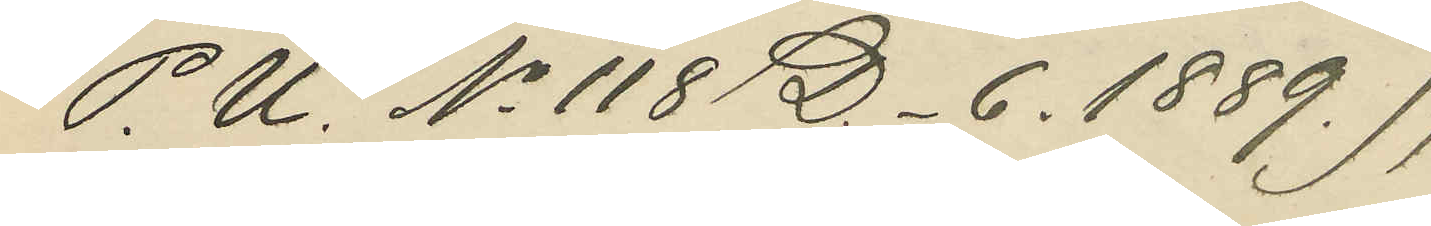(P. U. No 118 D. _ 6. 1889.);
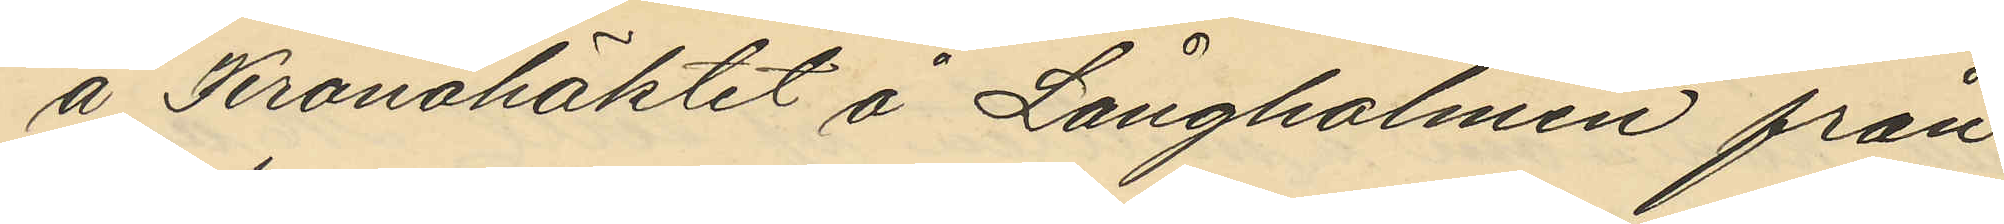å Kronohäktet å Långholmen från
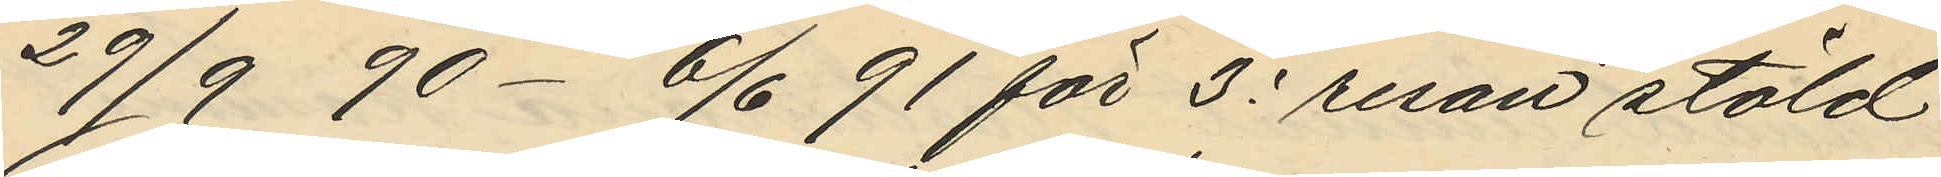29/9  90 - 6/6  91 för 3e resan stöld
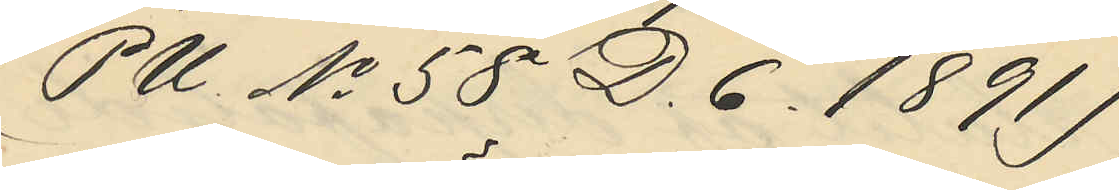(PU No 58 D. 6. 1891),
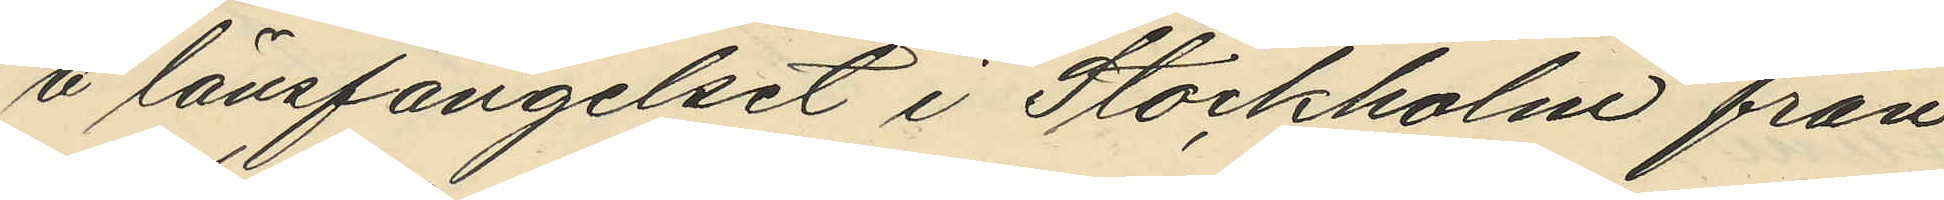å länsfängelset i Stockholm från
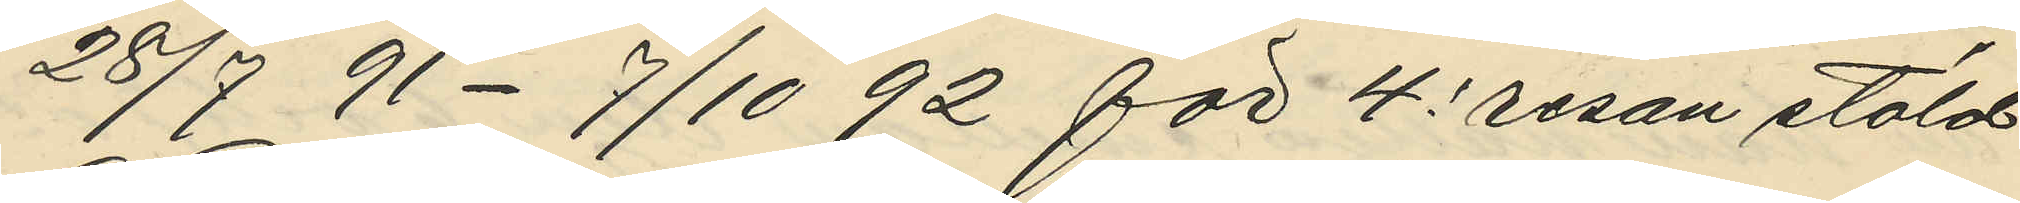28/7 91 - 7/10 92 för 4e resan stöld
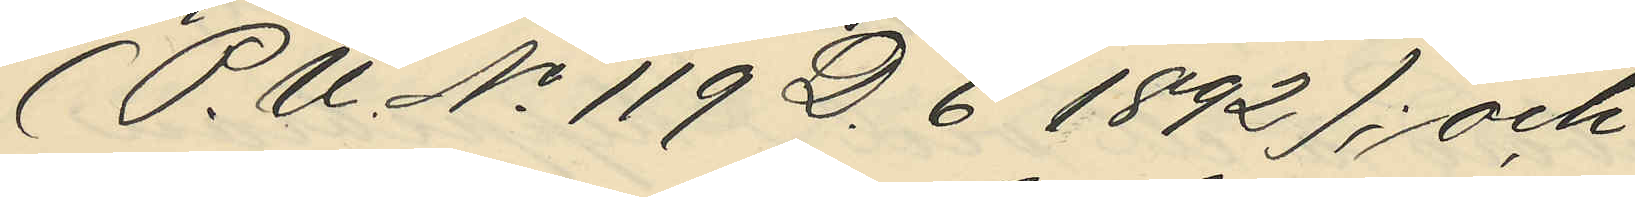(P.U. No 119 D. 6 1892); och
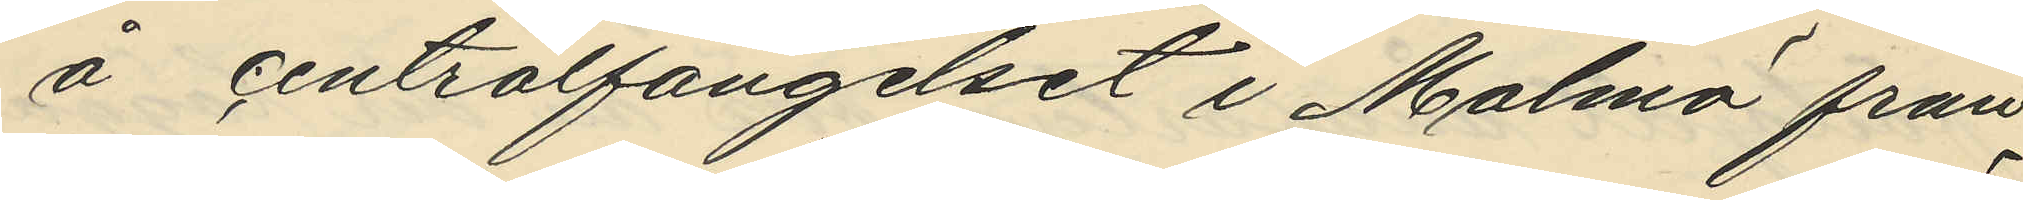å centralfängelset i Malmö från
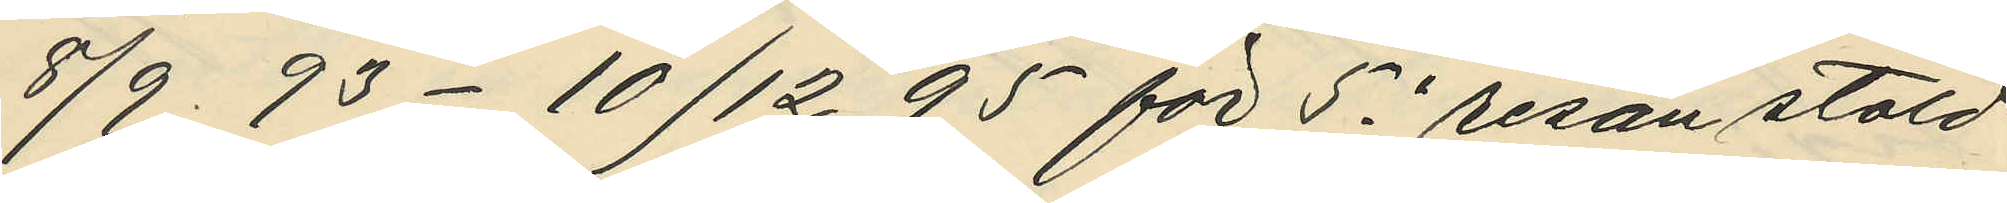8/9  93 - 10/12  95 för 5e resan stöld
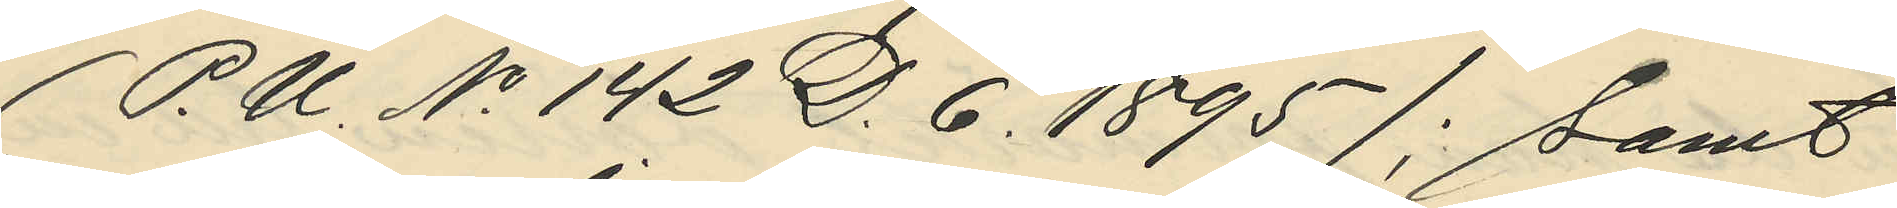(P.U. No 142 D. 6. 1895); samt
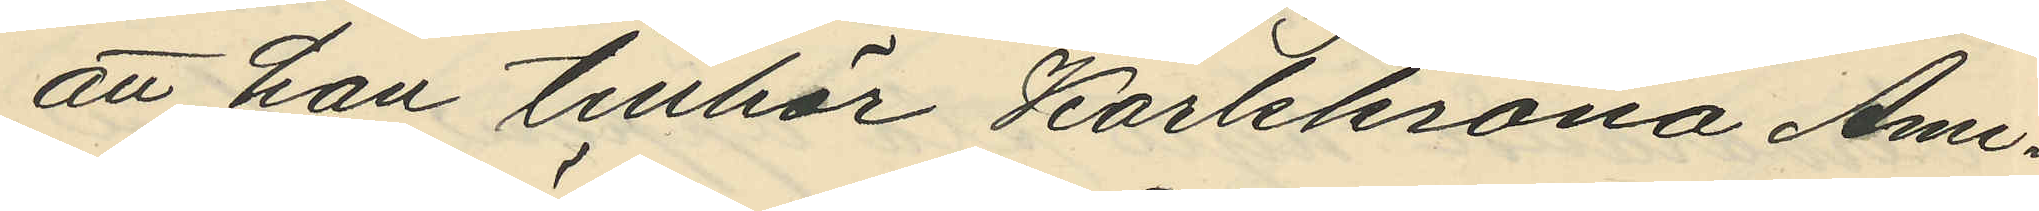att han tillhör Karlskrona Ami¬
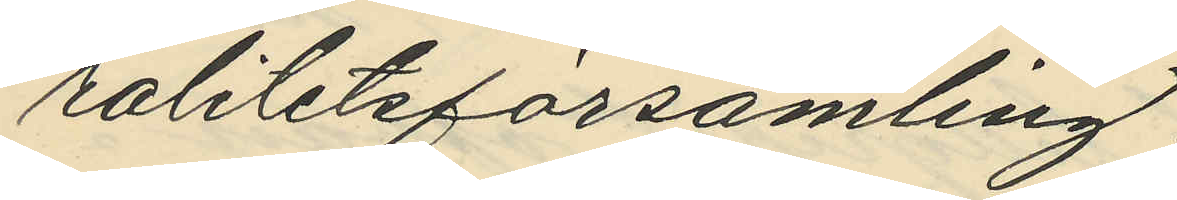ralitetsförsamling.
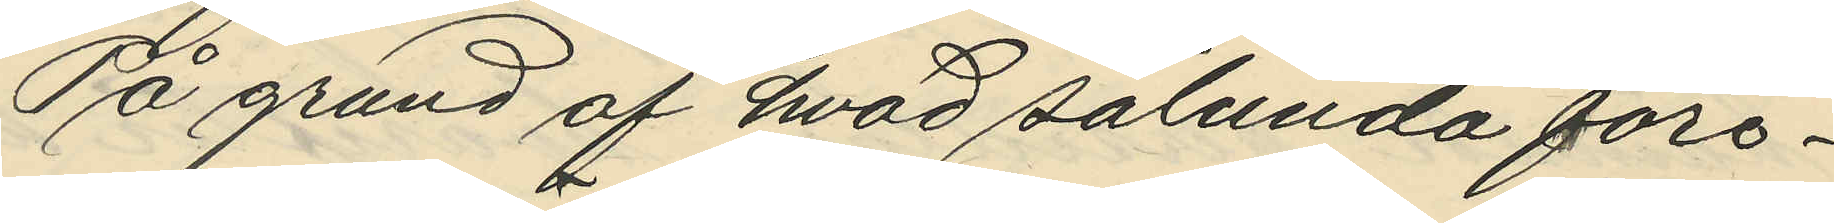På grund af hvad sålunda före¬
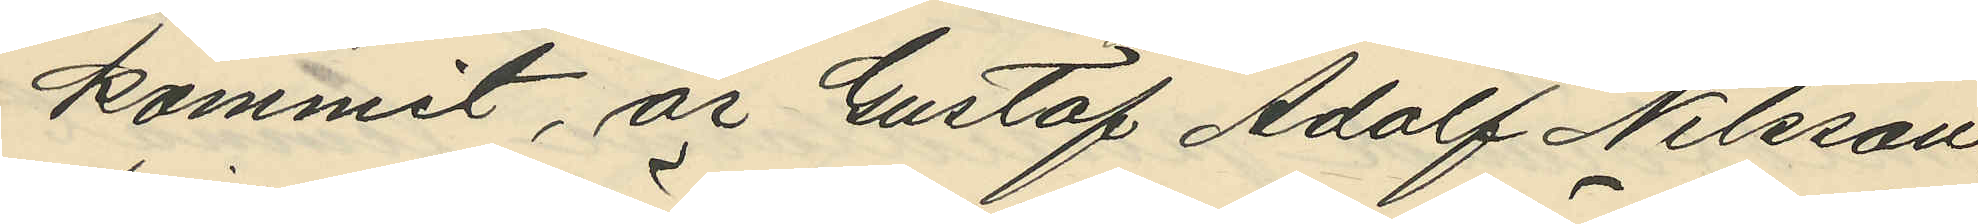kommit, är Gustaf Adolf Nilsson,
